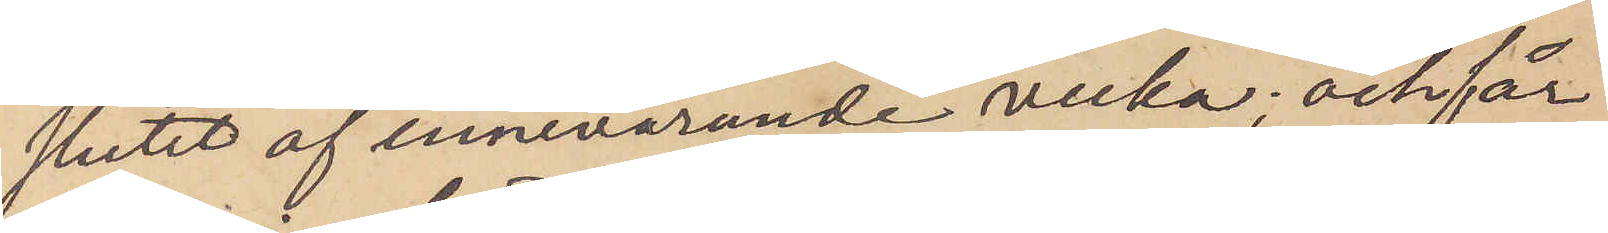slutet af innevarande vecka; och får
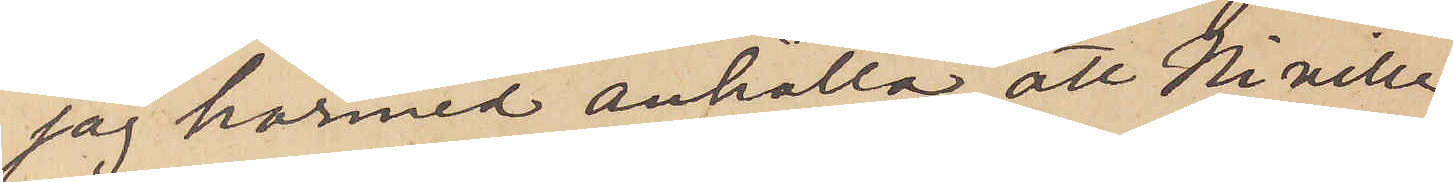jag härmed anhålla, att Ni ville
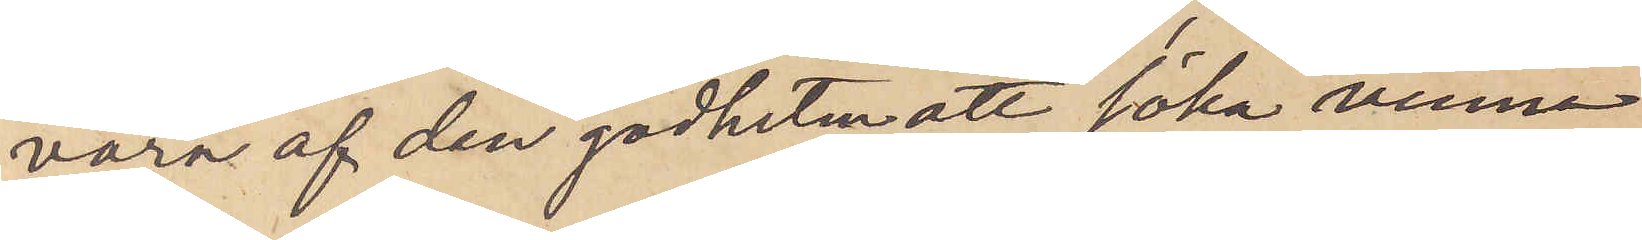vara af den godheten att söka vinna
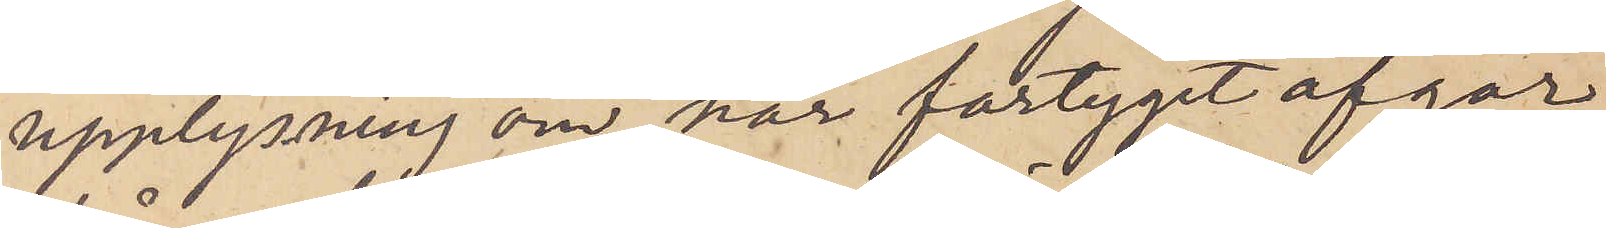upplysning om, när fartyget afgår
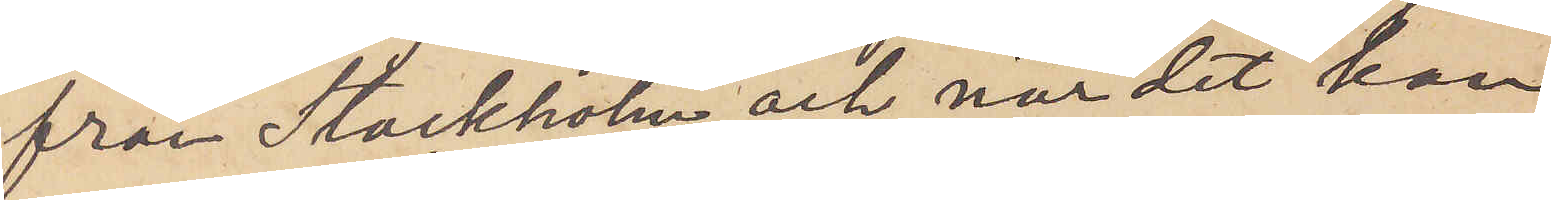från Stockholm och när det kan
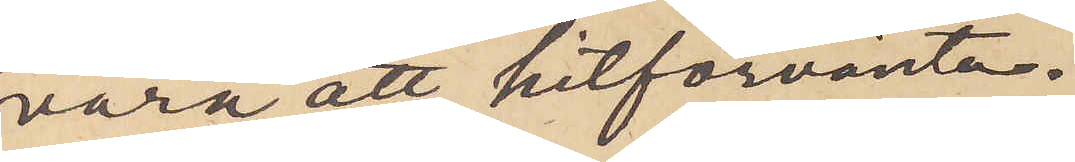vara att hitförvänta.
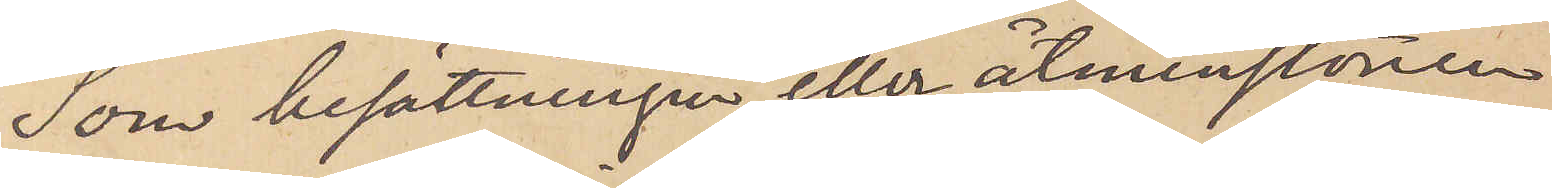Som besättningen eller åtminstone
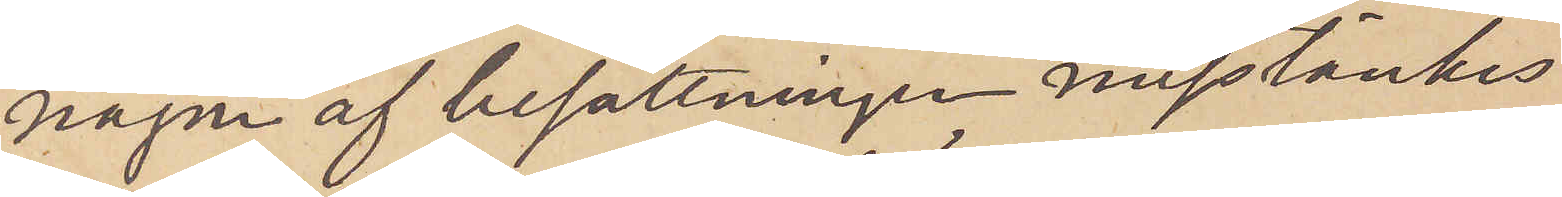någon af besättningen misstänkes
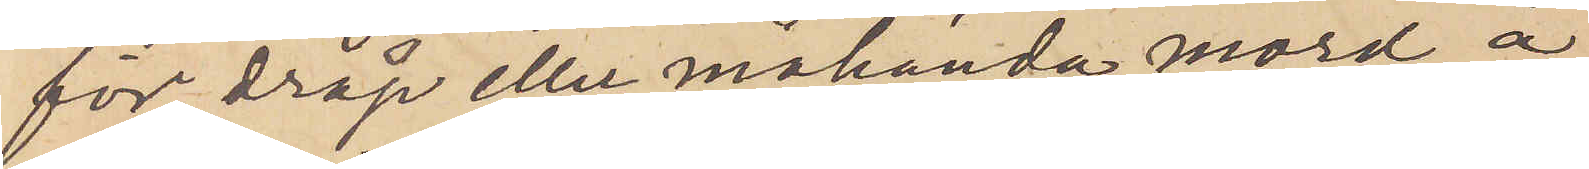för dråp eller måhända mord å
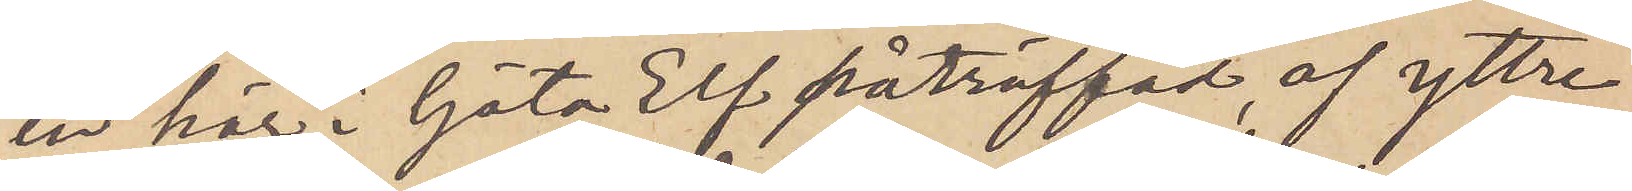en här i Göta Elf påträffad, af yttre
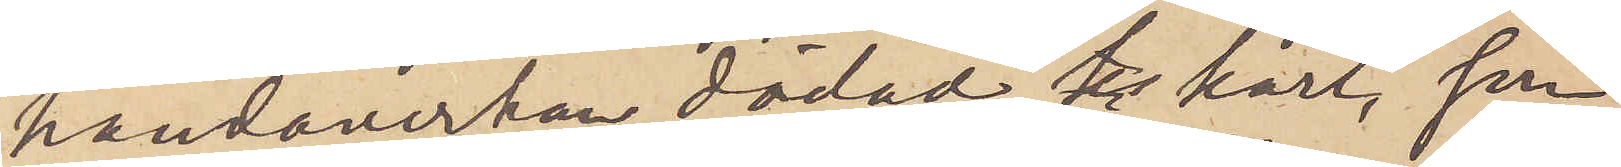handaverkan dödad karl, som
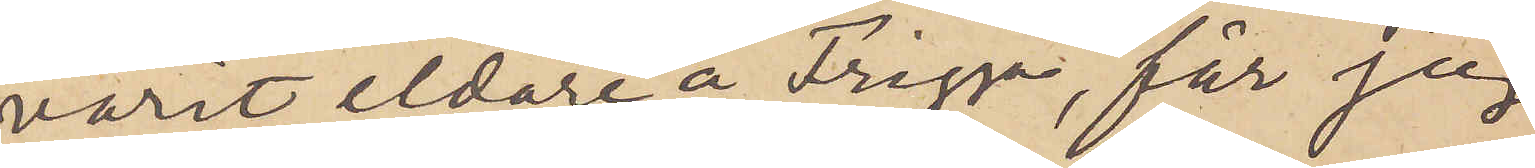varit eldare å Frigga, får jag
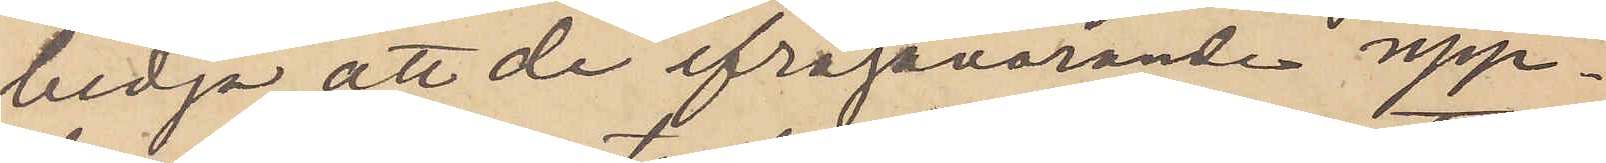bedja, att de ifrågavarande upp¬
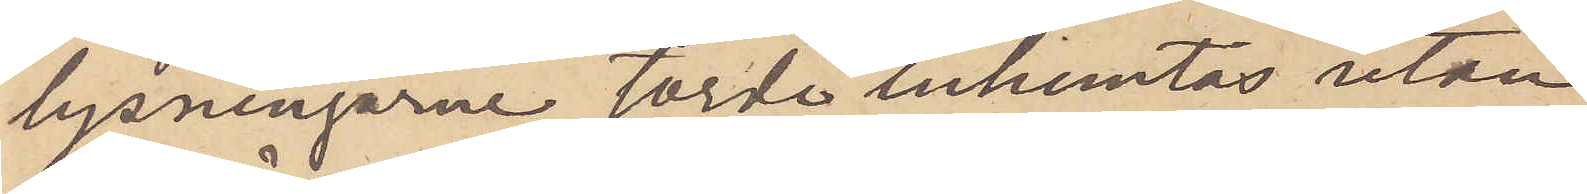lysningarne torde inhemtas utan
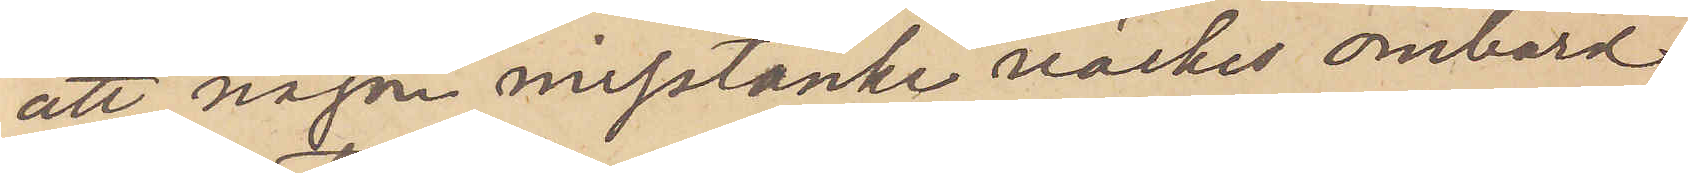att någon misstanke märkes ombord
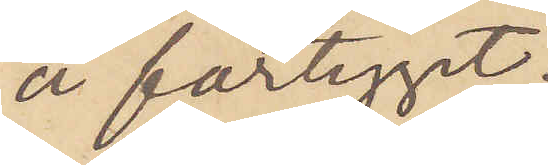å fartyget.
